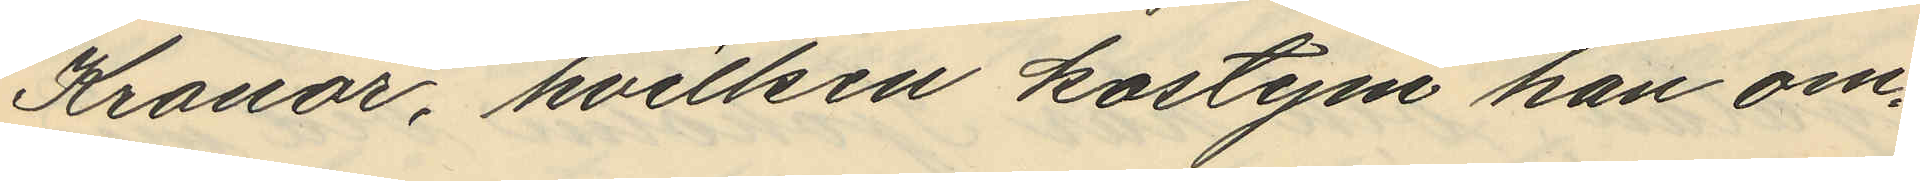Kronor, hvilken kostym han om¬
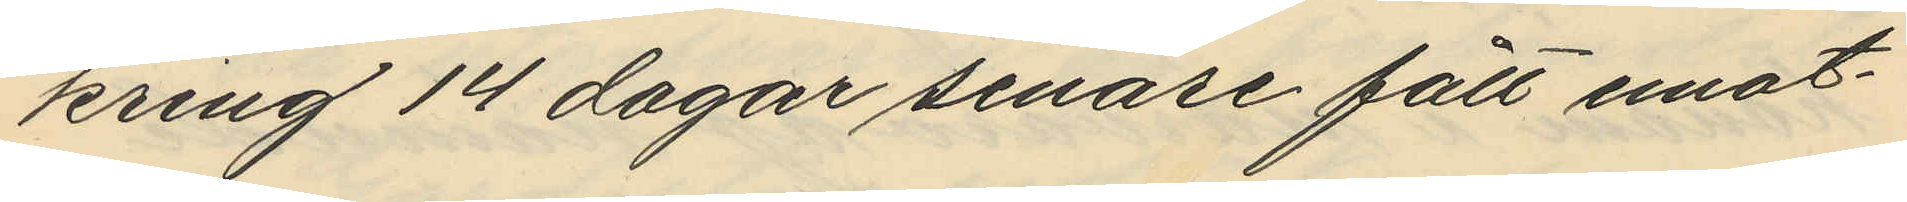kring 14 dagar senare fått emot¬
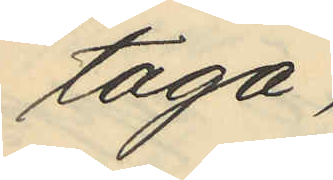taga;
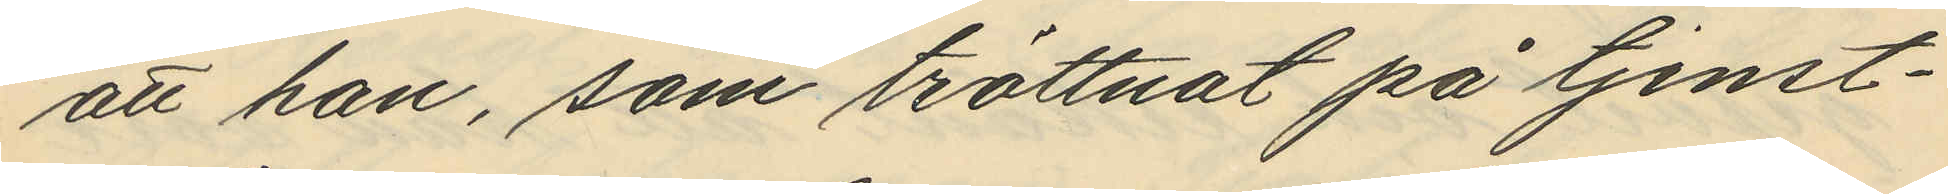att han, som tröttnat på tjenst¬
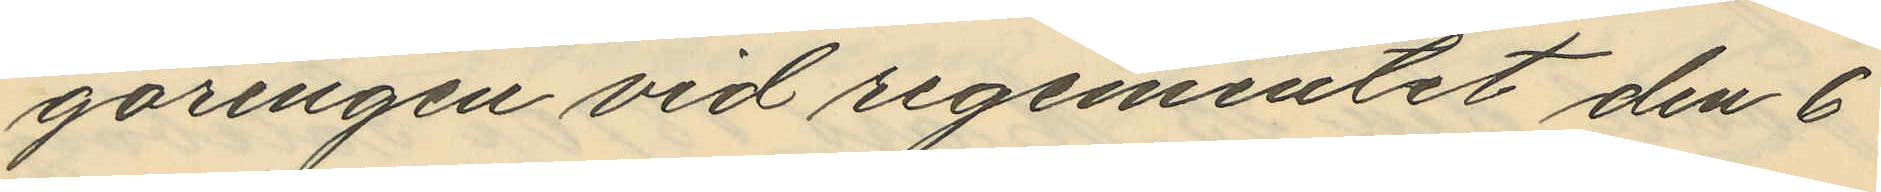göringen vid regementet den 6
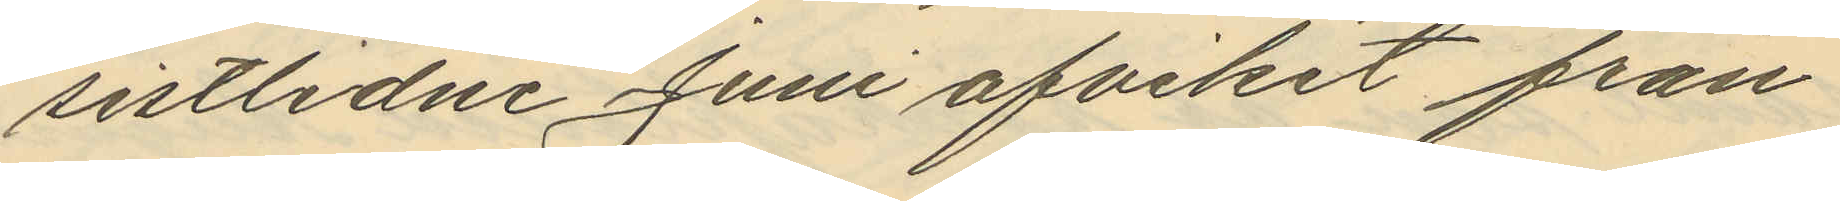sistlidne Juni afvikit från
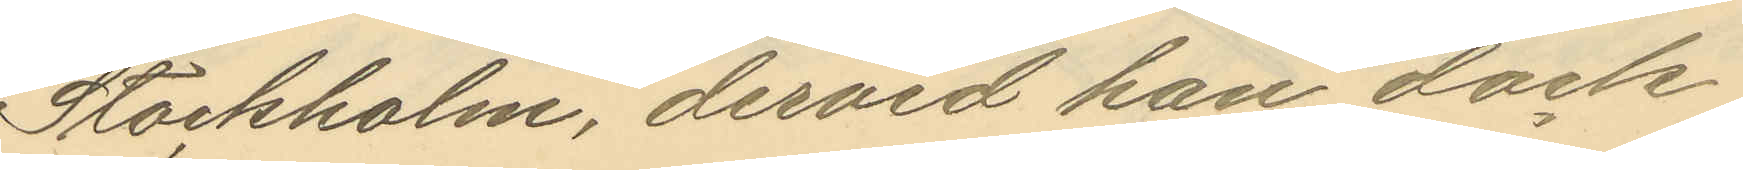Stockholm, dervid han dock
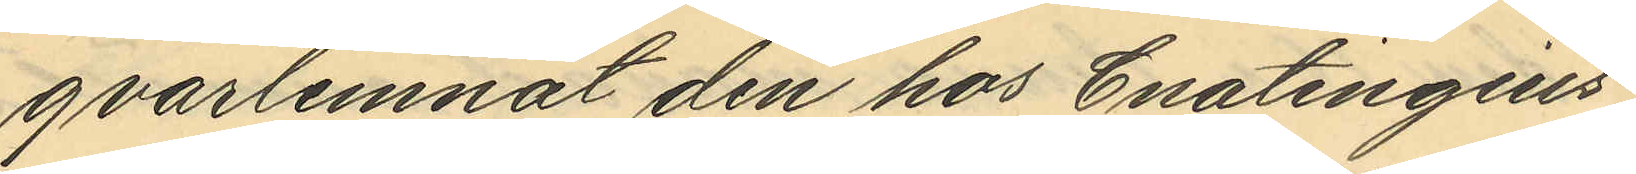qvarlemnat den hos Enatingius
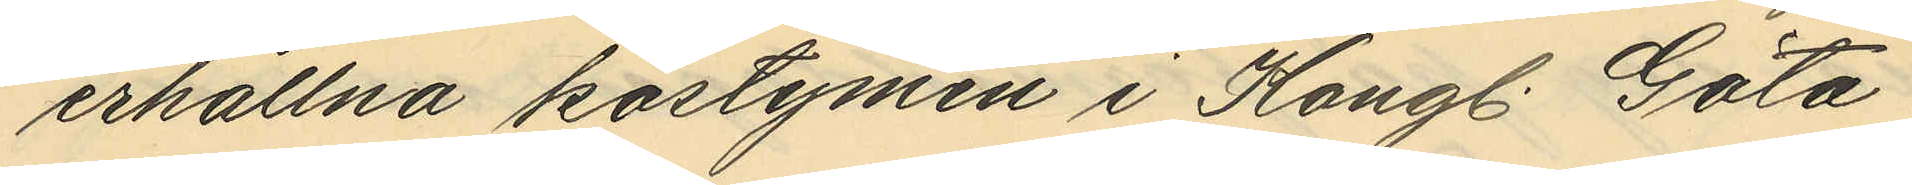erhållna kostymen i Kongl. Göta
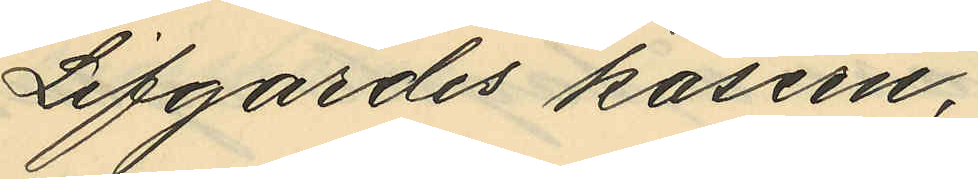Lifgardes kasern,
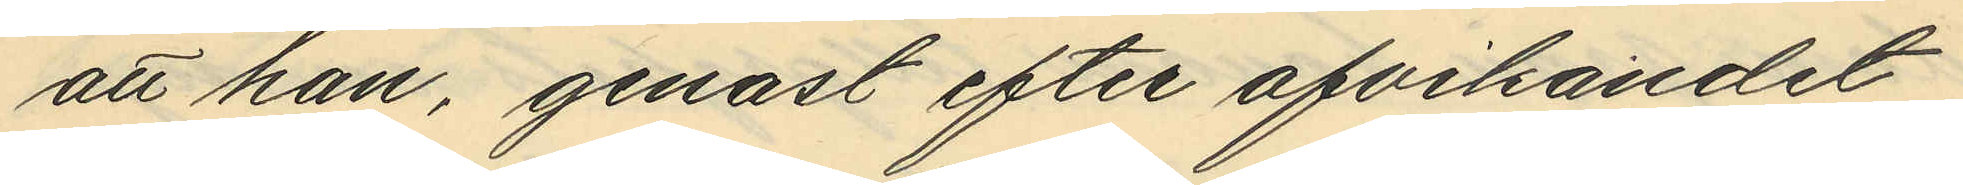att han, genast efter afvikandet
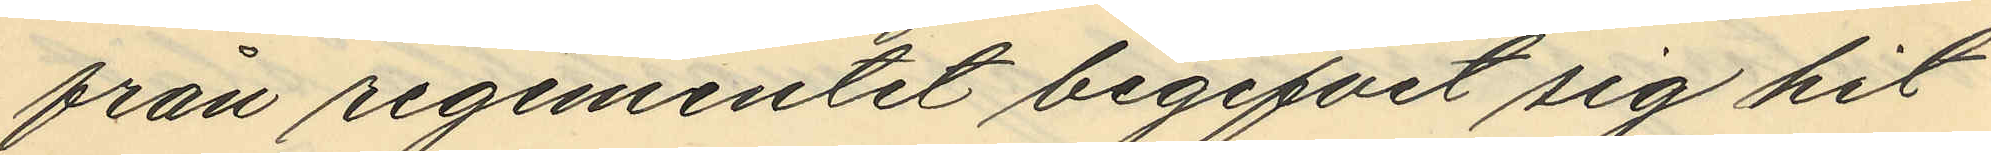från regementet begifvit sig hit
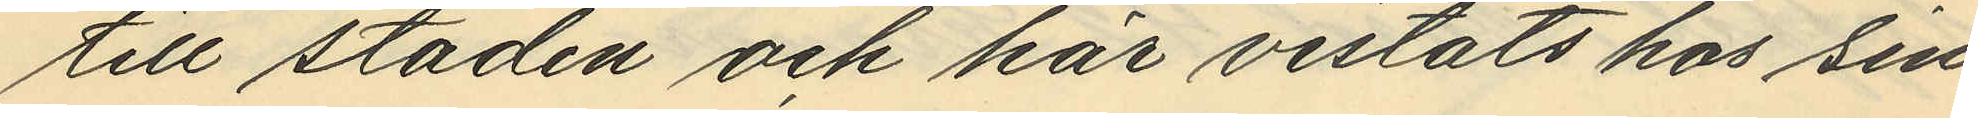till staden och här vistats hos sin
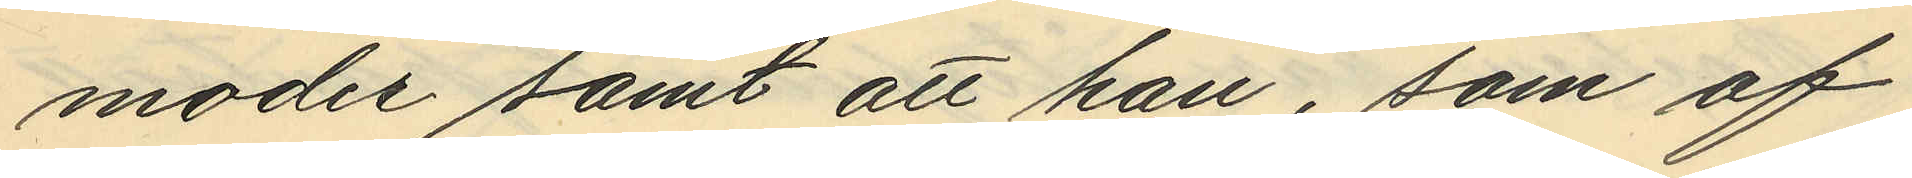moder samt att han, som af
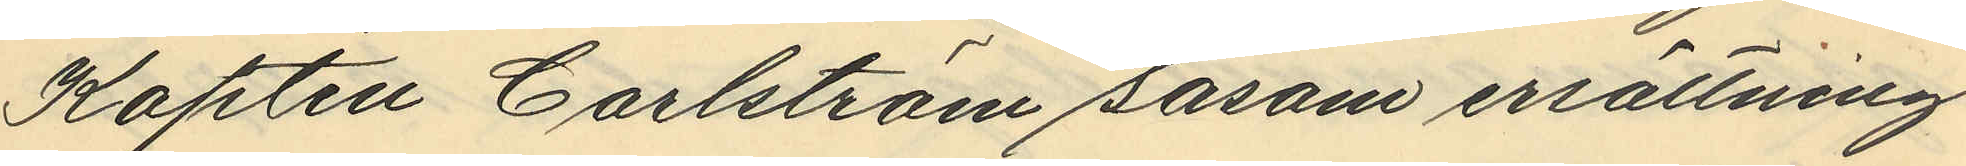Kapten Carlström såsom ersättning
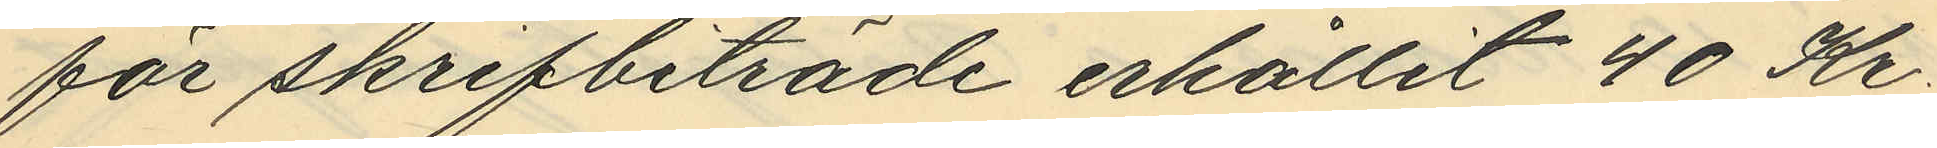för skrifbiträde erhållit 40 Kr.
